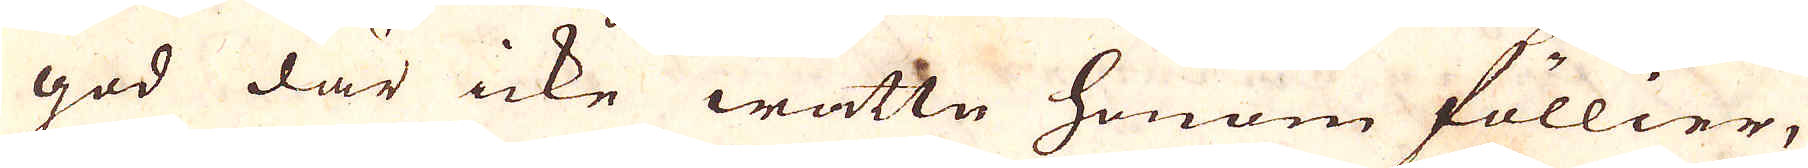god där icke wattn honom föllier,
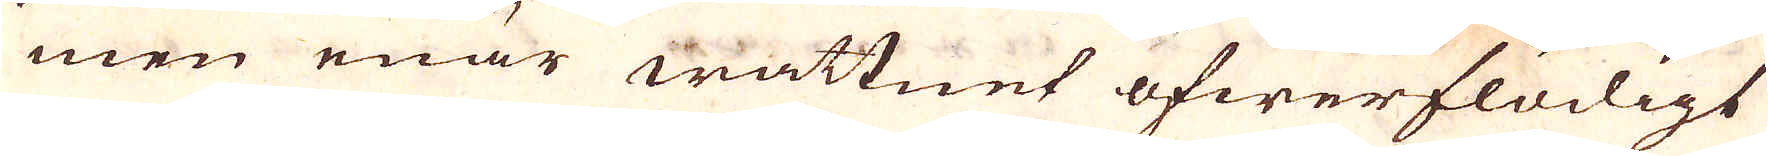men enär wattnet öfwerflödigt
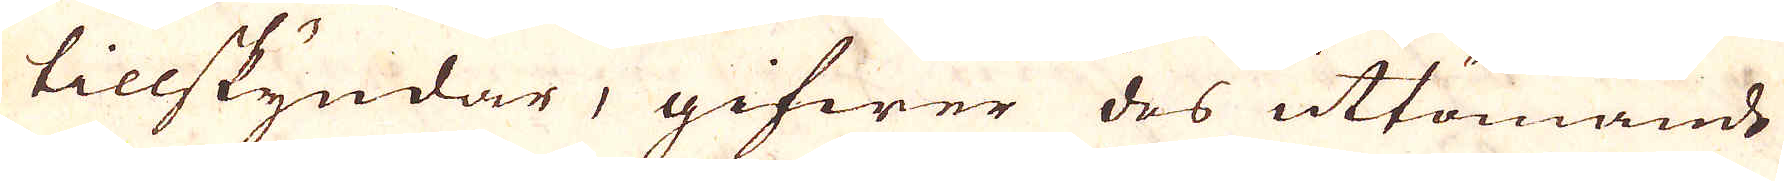tillskyndar, gifwer des uttömande
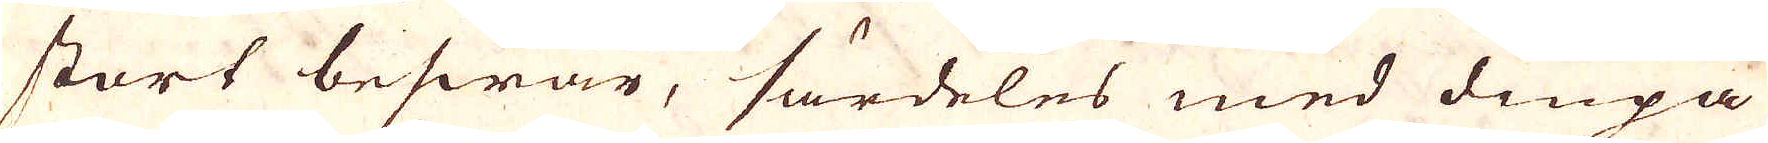stort beswär, särdeles med diupa
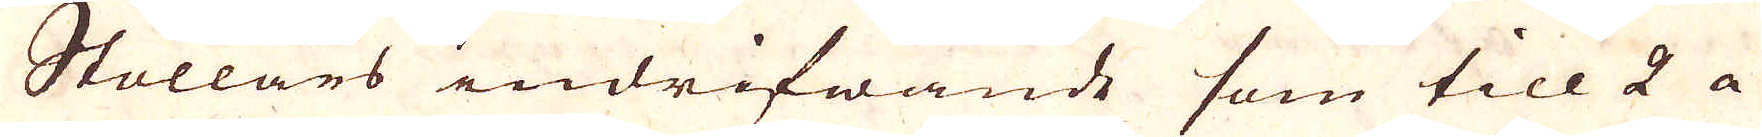Stollars indrifwande som till 2 a
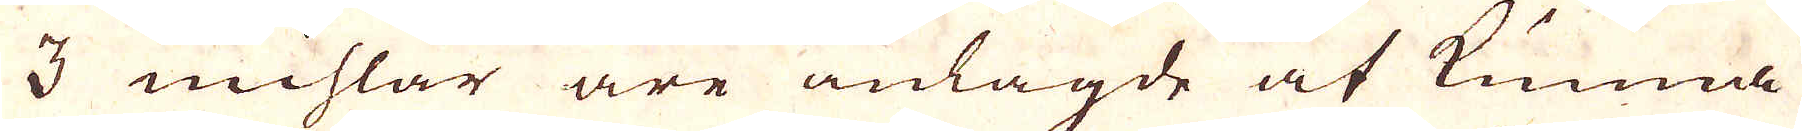3 mihlar äre anlagde at kunna
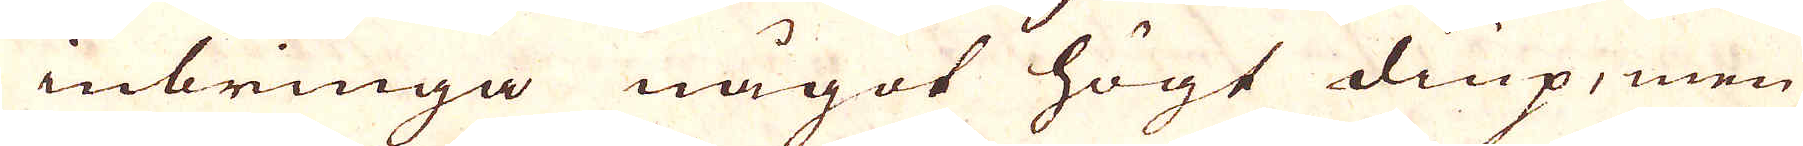inbringa något högt diup, men
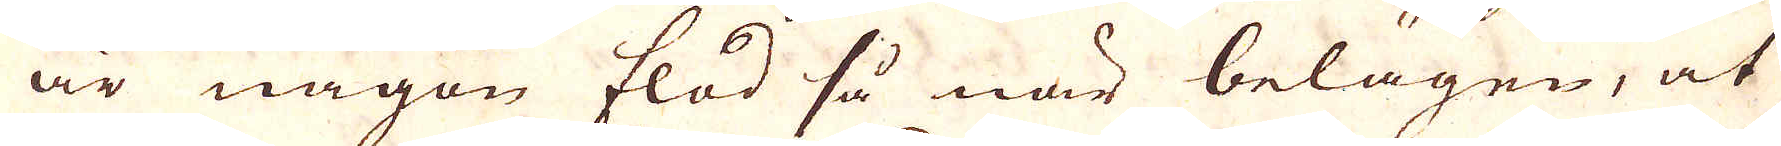är någon flod så när belägen, at
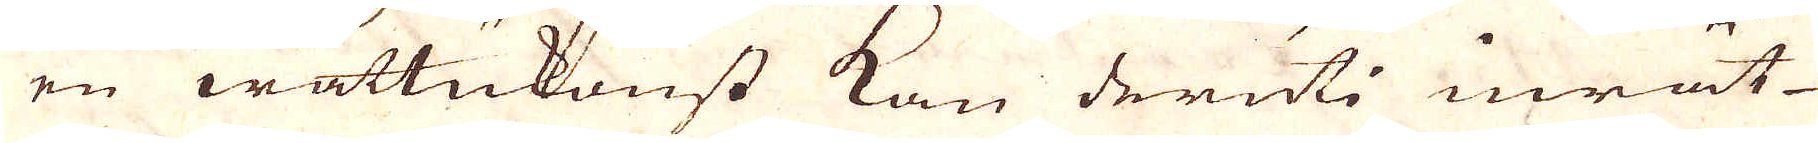en wattukonst kan deruti inrät-
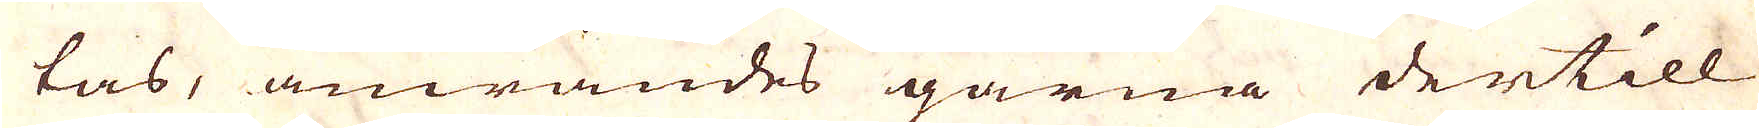tas, anwändes gärna dertill
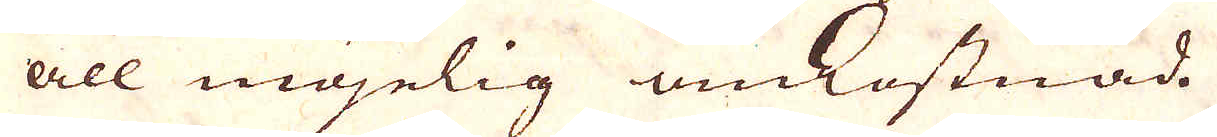all möjelig omkostnad.
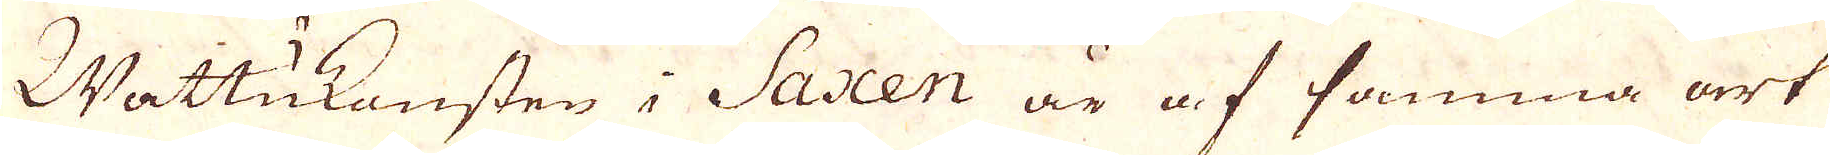Wattukonsten i Saxen är af samma ort
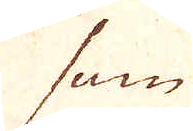som
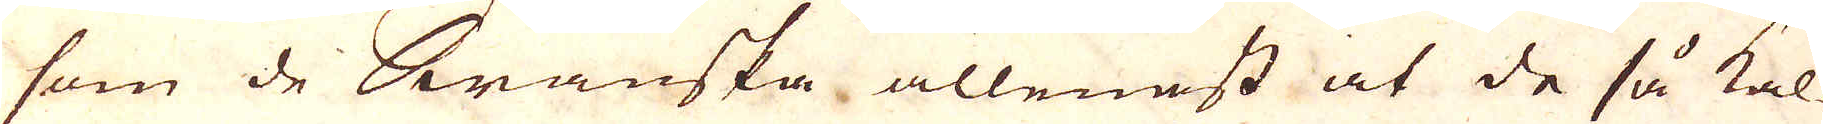som de Swänska allenast at de så kal-
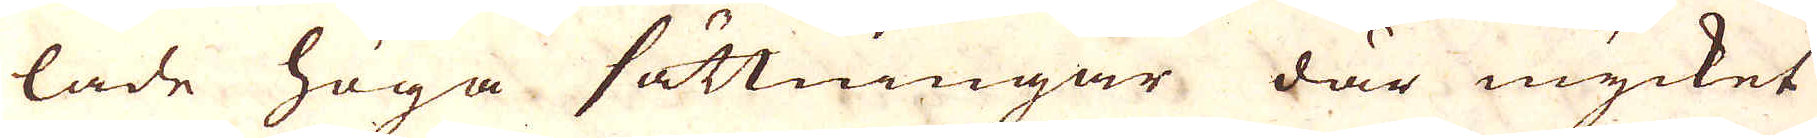lade höga sättningar där mycket
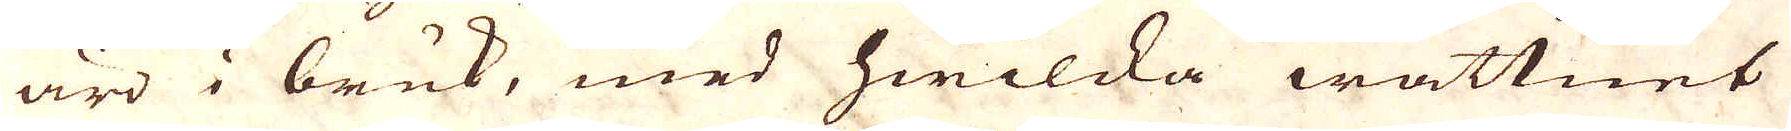äro i bruk, med hwilcka wattnet
